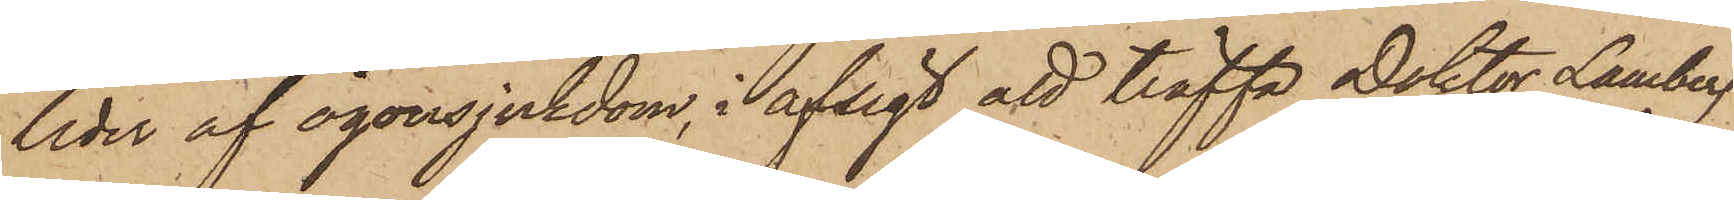leder af ögonsjukdom, i afsigt att träffa Doktor Lamberg
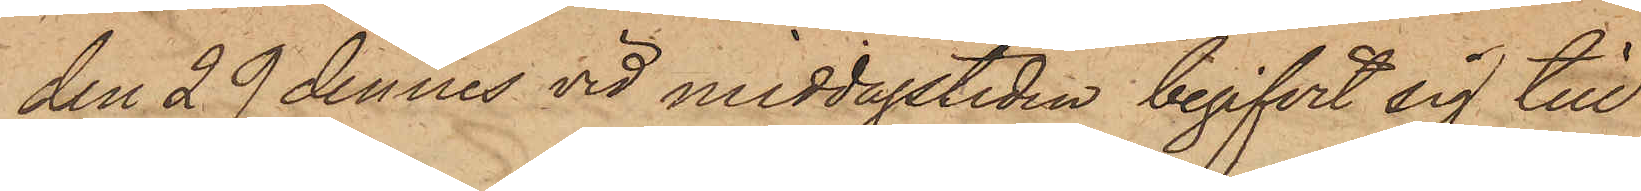den 29 dennes vid middagstiden begifvit sig till
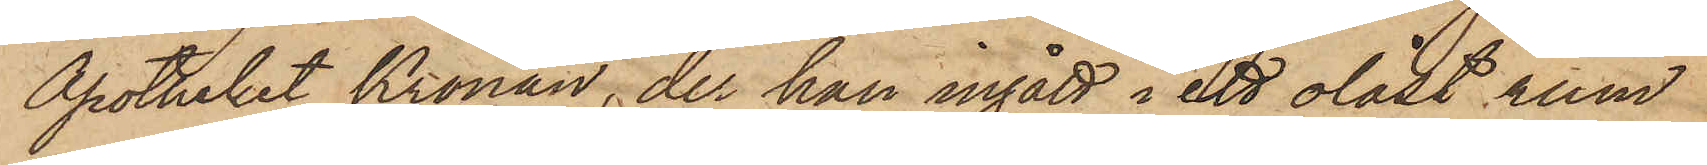Apotheket Kronan, der han ingått i ett olåst rum
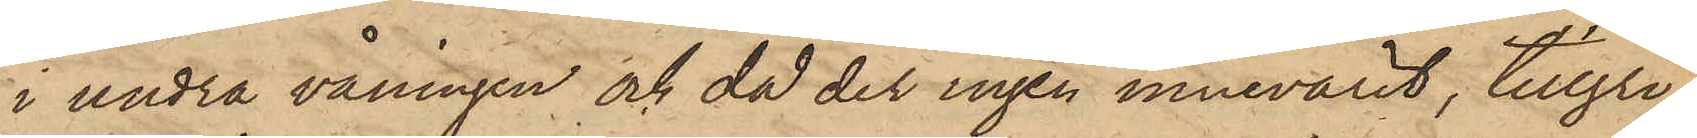i andra våningen och då der ingen innevarit, tillgri¬
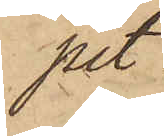pit
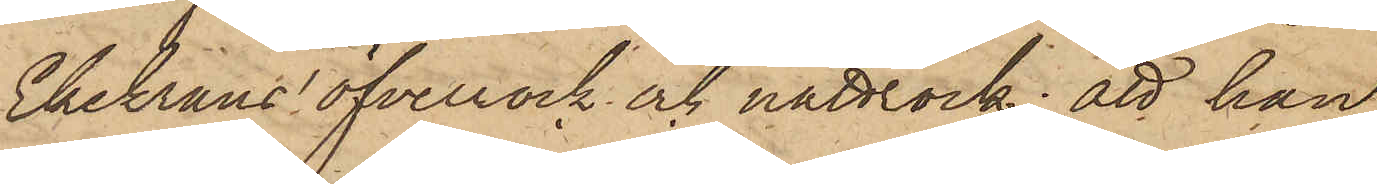Ekekrans öfverrock och nattrock; att han
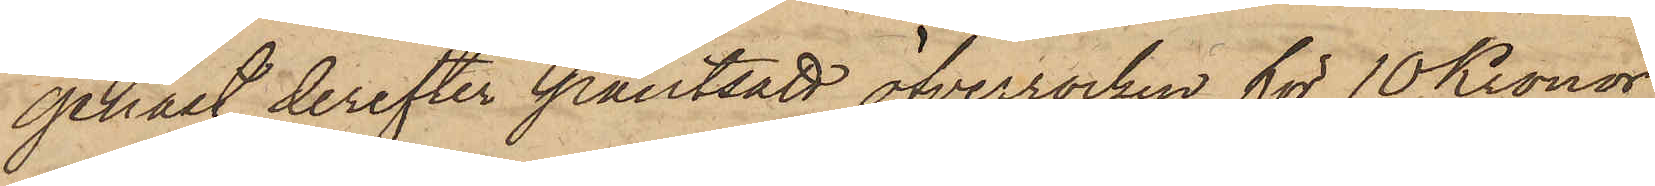genast derefter pantsatt öfverrocken för 10 Kronor
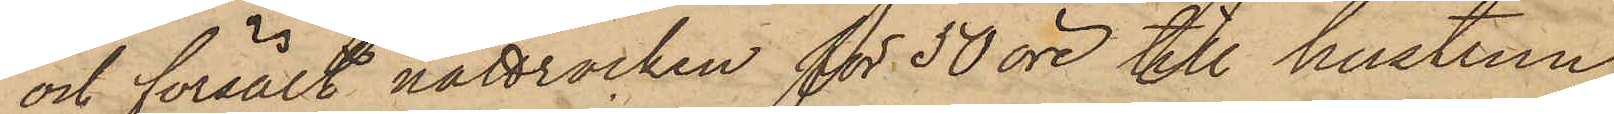och försålt nattrocken för 50 öre till hustrun
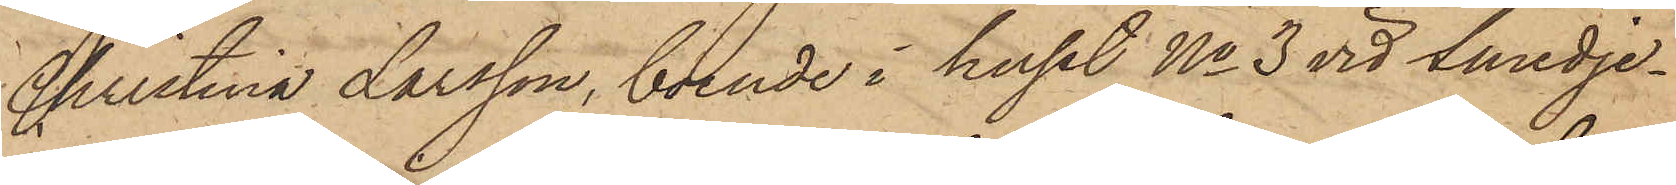Christina Larsson, boende i huset No 3 vid Smedje¬
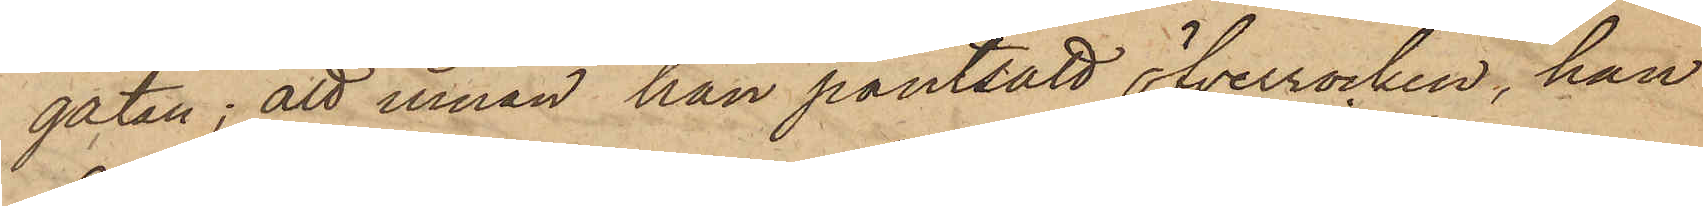gatan; att innan han pantsatt öfverrocken, han
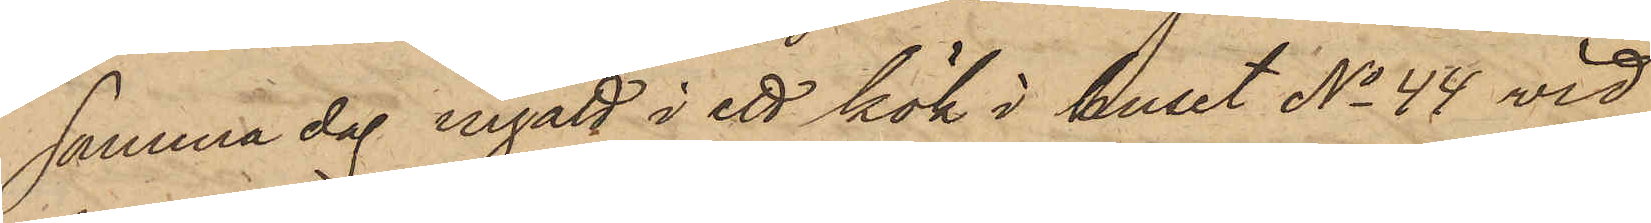samma dag ingått i ett kök i huset No 44 vid
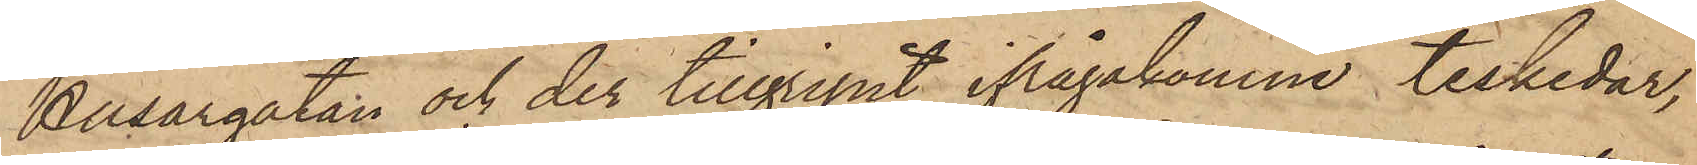Husargatan och der tillgripit ifrågakomne teskedar,
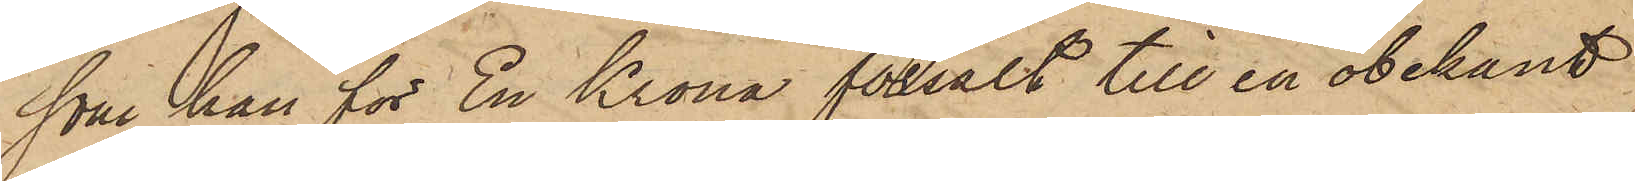som han för En Krona försålt till en obekant
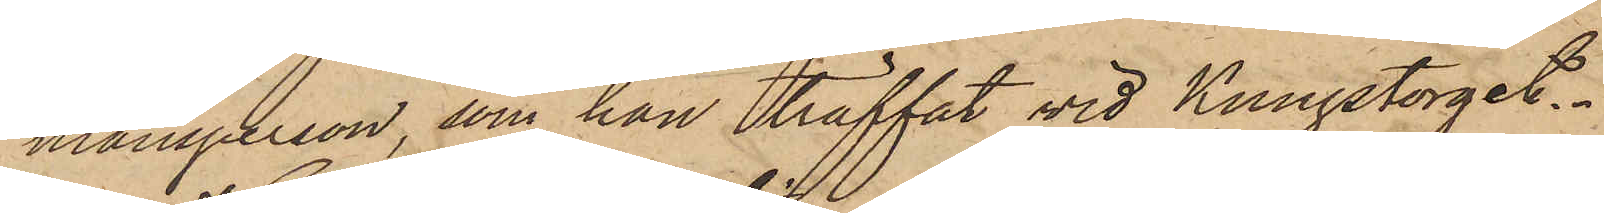mansperson, som han träffat vid Kungstorget.
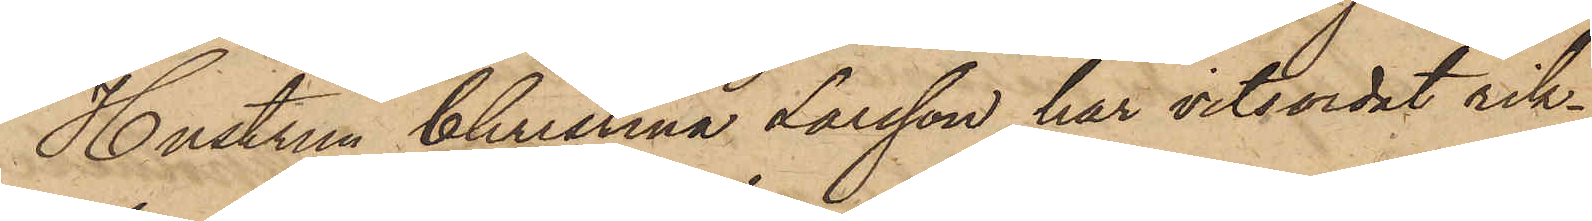Hustrun Christina Larsson har vitsordat rik¬
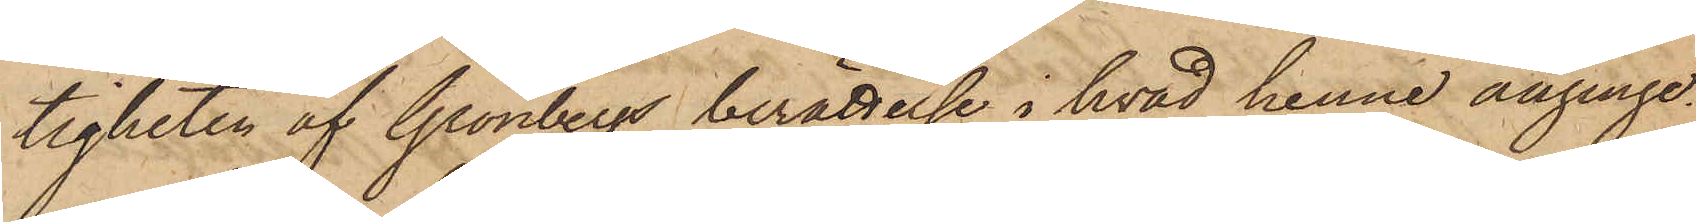tigheten af Grönbergs berättelse i hvad henne anginge.
